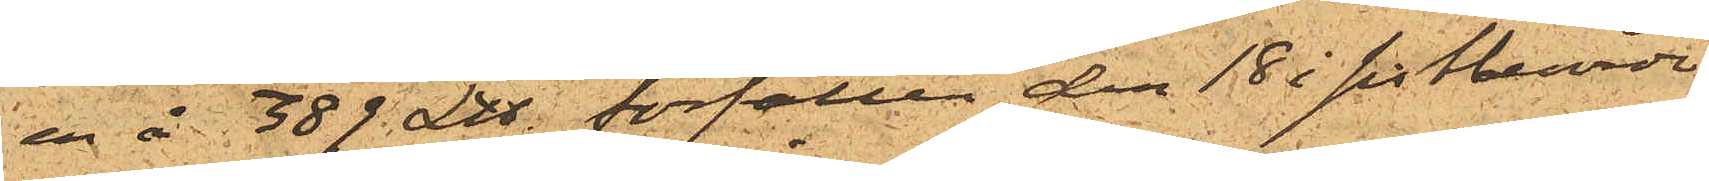en å 389£ förfallen den 18 i sistberörde
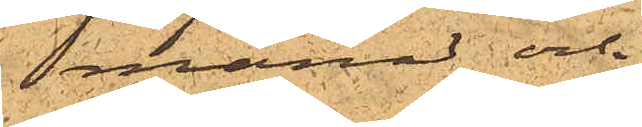månad och
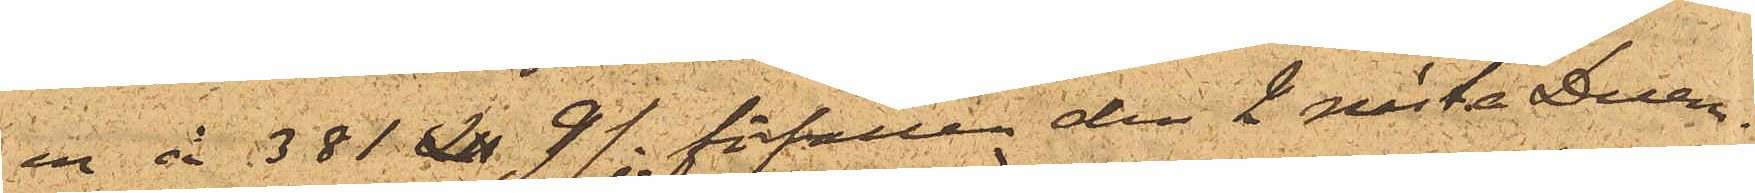en å 381£ 9/-. förfallen den 2 nästa Decem¬
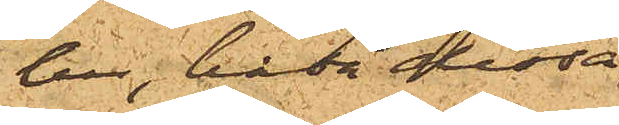ber, båda dessa
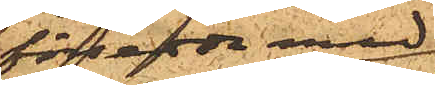försedda med
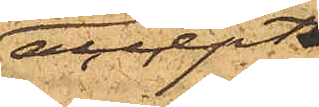accept
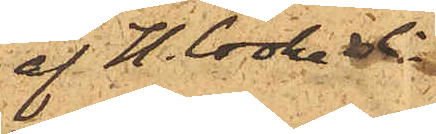af H. Cooke & Co,
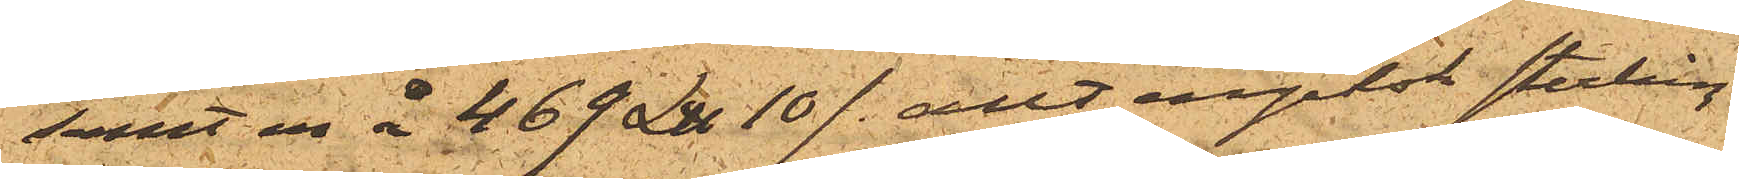samt en å 469 £ 10/- allt engelsk sterling
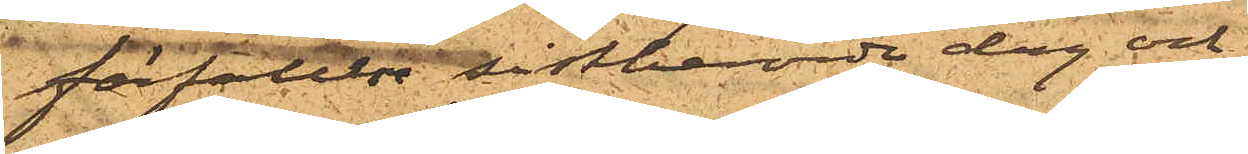förfallne sistberörde dag och
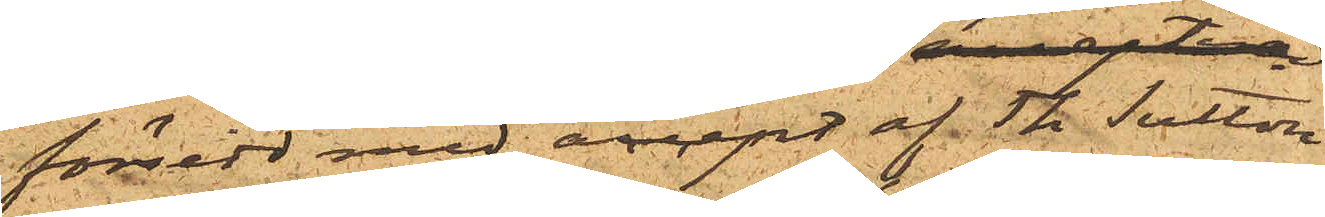försedd med accept af  Th. Sutton
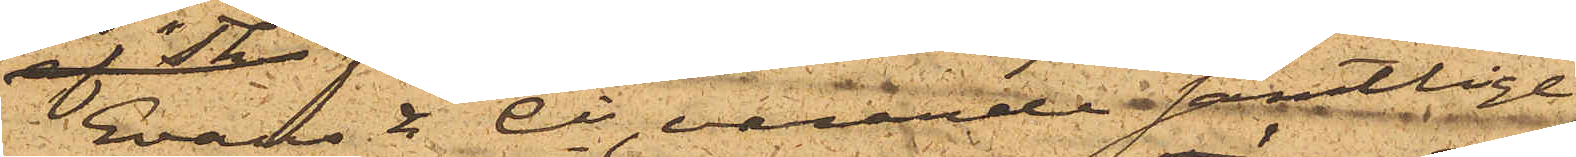Evans & Co, varande samtlige
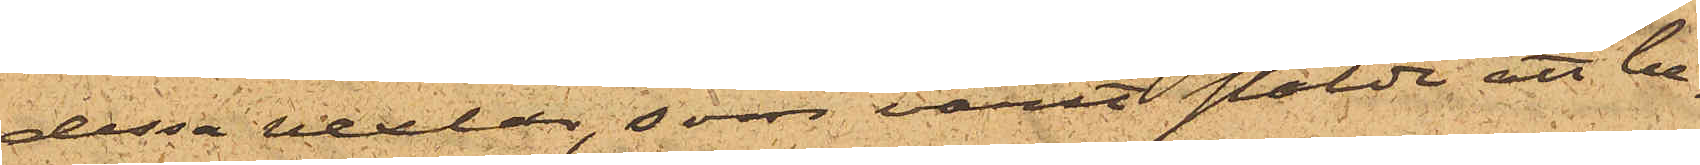dessa vexlar, som varit stälde att be¬
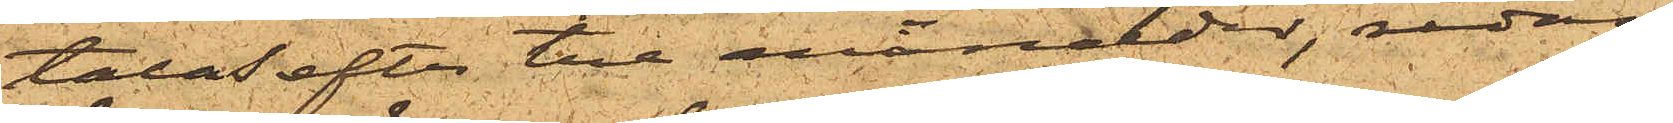talas efter tre månader, redan
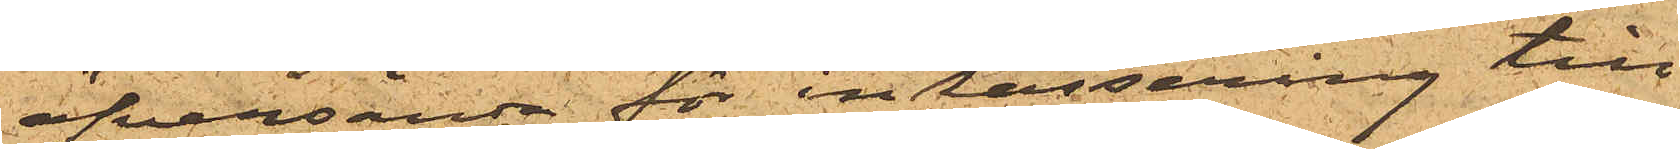öfversända för inkassering till
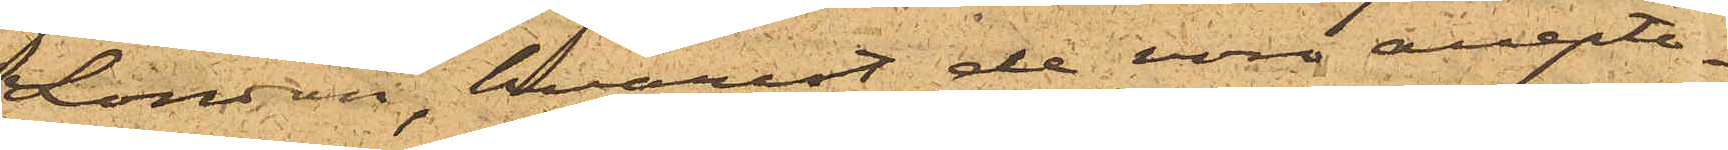London, hvarest de voro accepte¬
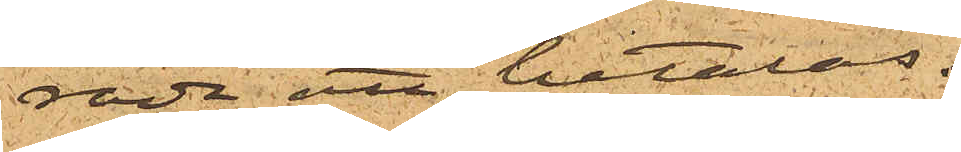rade att betalas.
